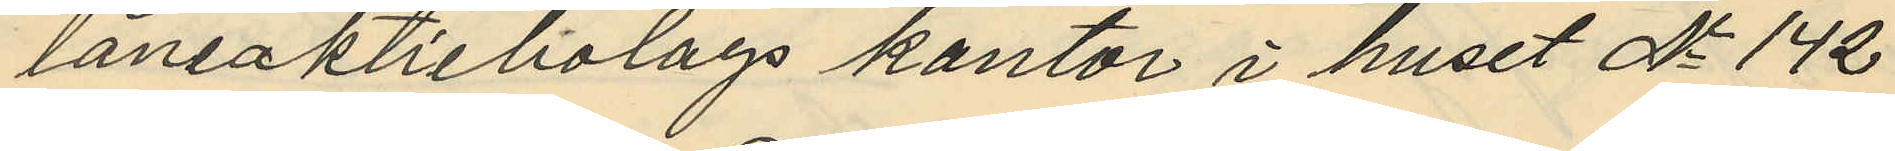lånsaktiebolags kontor i huset No 142
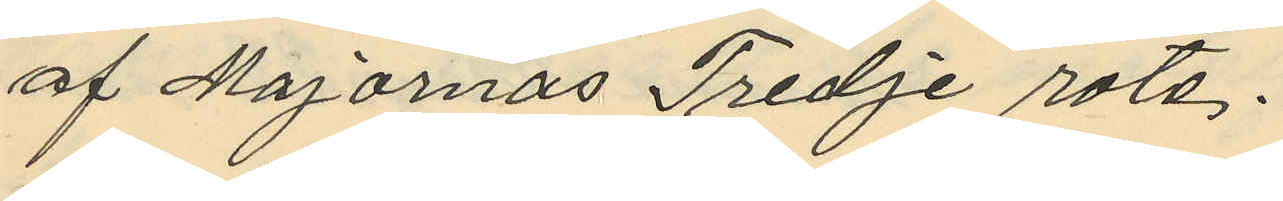af Majornas Tredje rote.
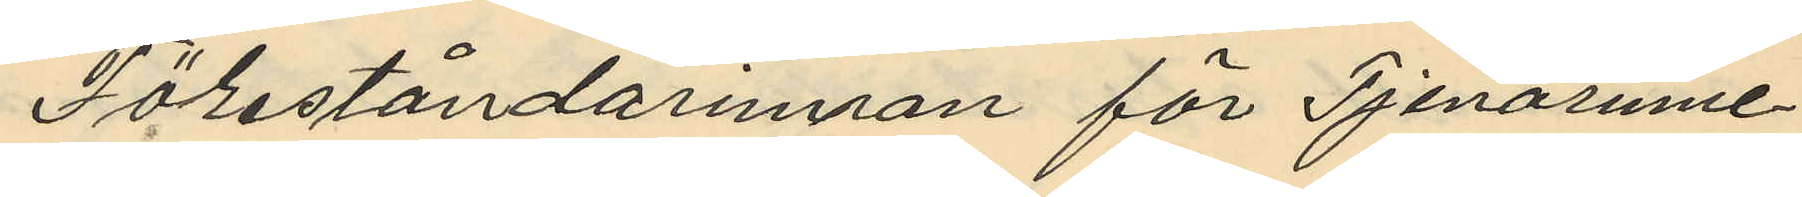Föreståndarinnan för Tjenerinne¬
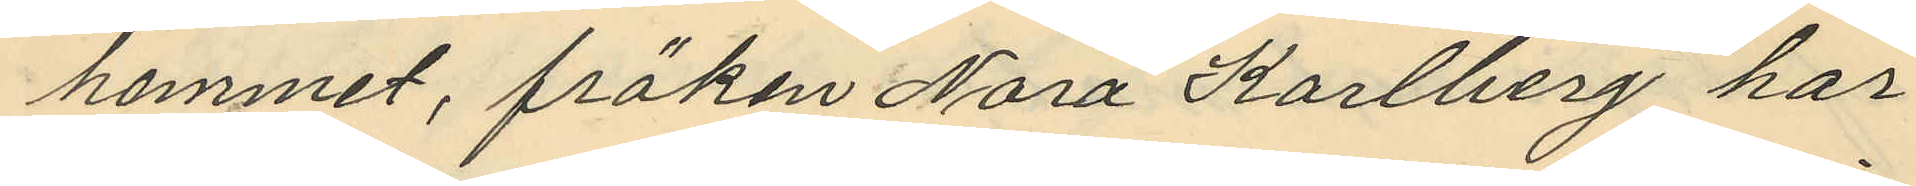hemmet, fröken Nora Karlberg har
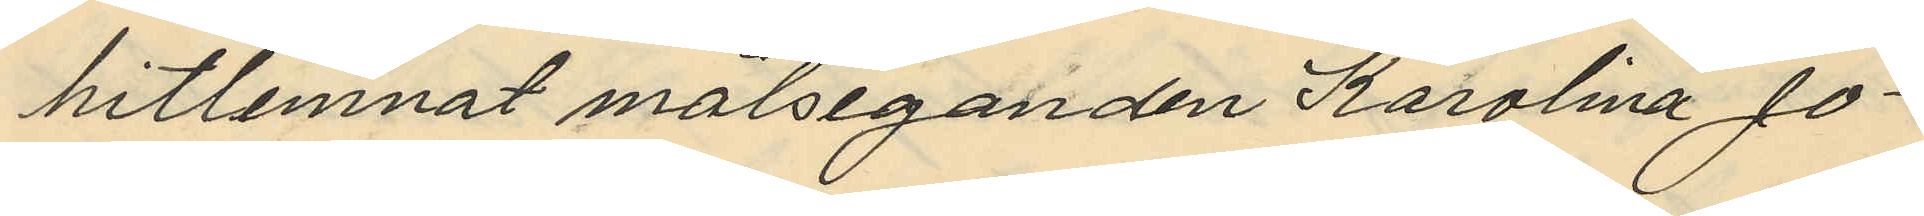hitlemnat målseganden Karolina Jo¬
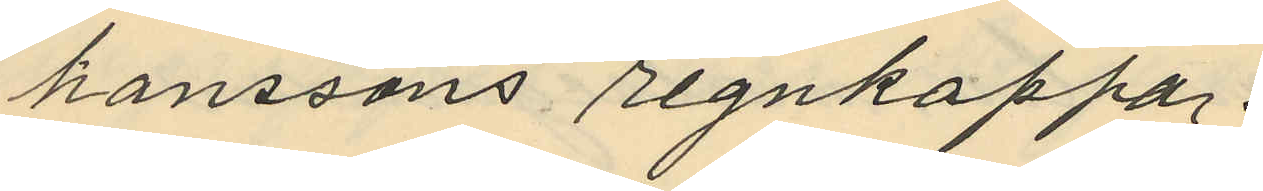hanssons regnkappa.
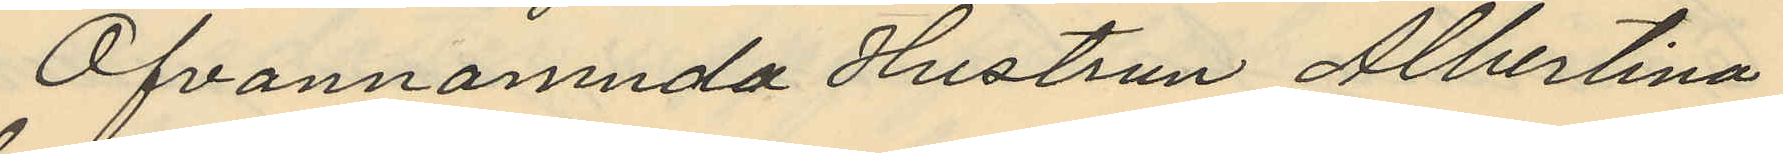Ofvannämnda Hustrun Albertina
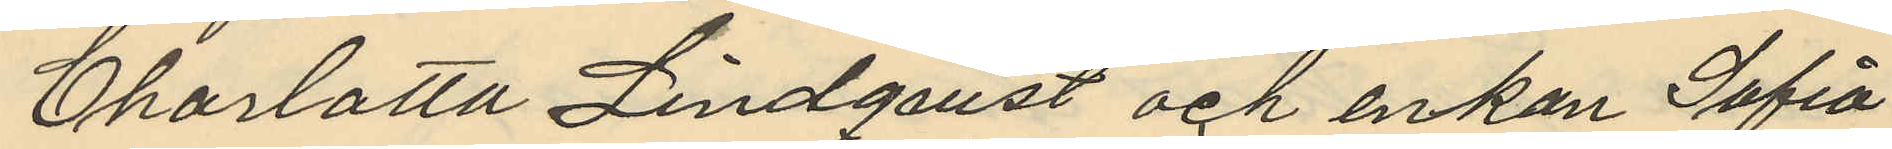Charlotta Lindqvist och enkan Sofia
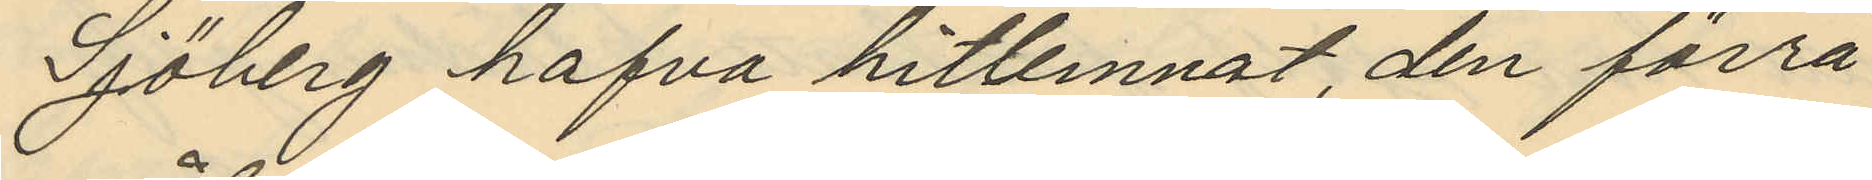Sjöberg hafva hitlemnat, den förra
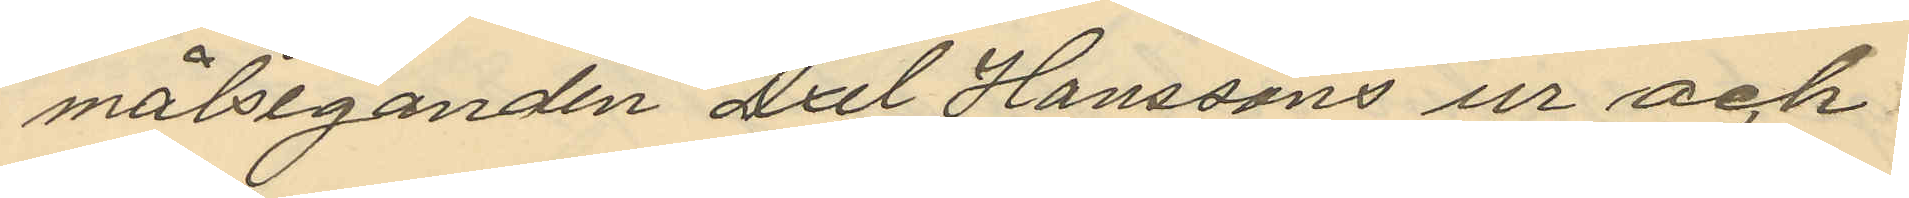målseganden Axel Hanssons ur och
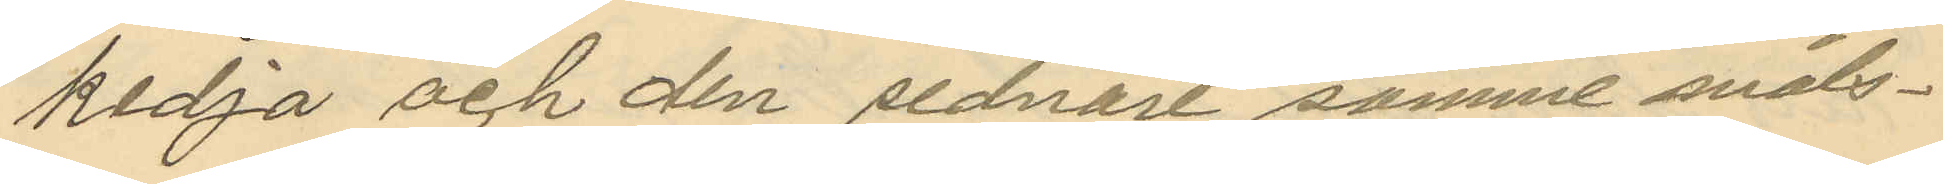kedja och den sednare samme måls¬
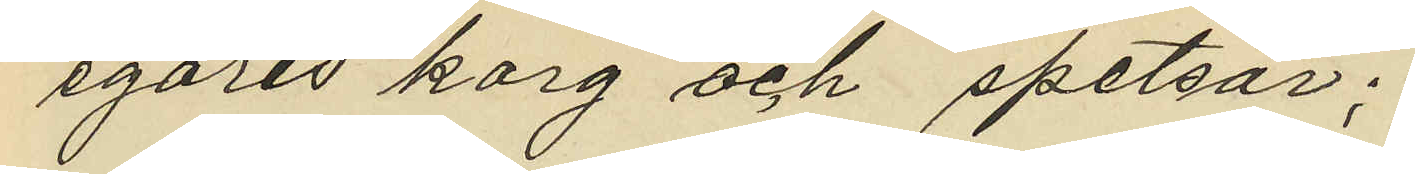egares korg och spetsar;
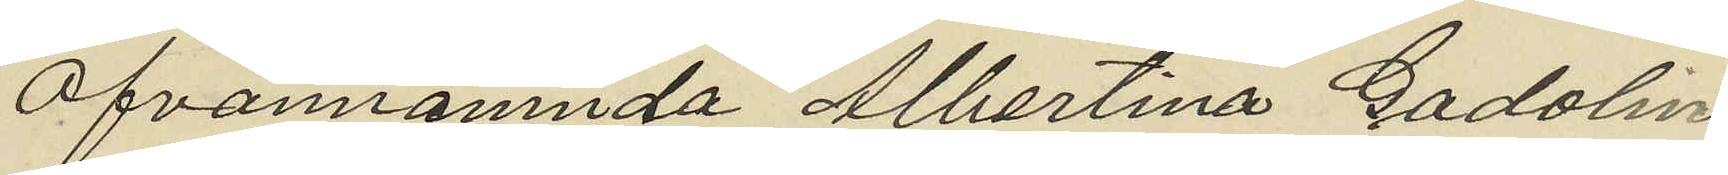Ofvannämnda Albertina Gadolin,
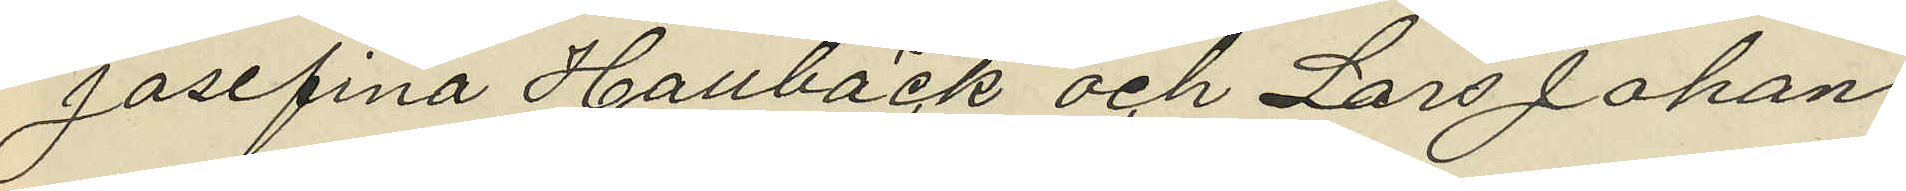Josefina Hallbäck och Lars Johan
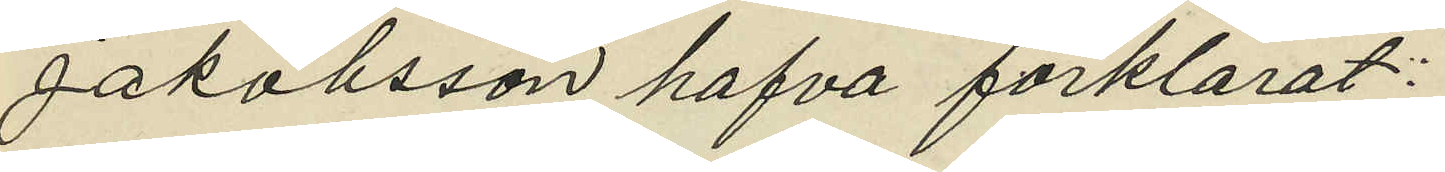Jakobsson hafva förklarat:
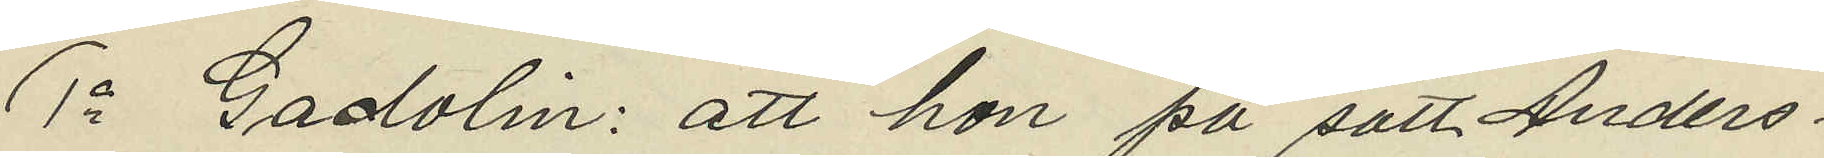1o Gadolin: att hon på sätt Anders¬
